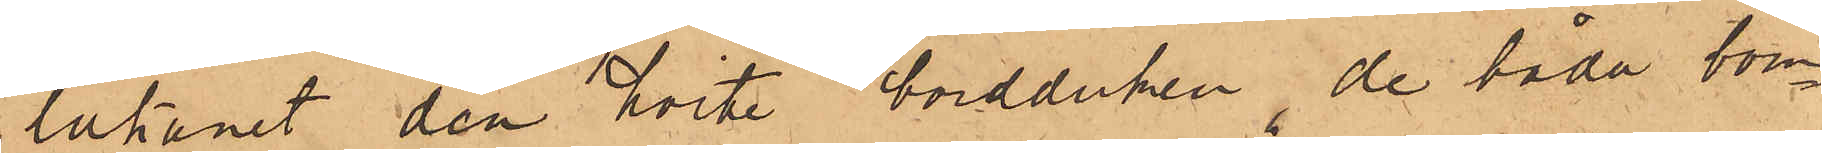lakanet den hvite bordduken, de båda bom¬
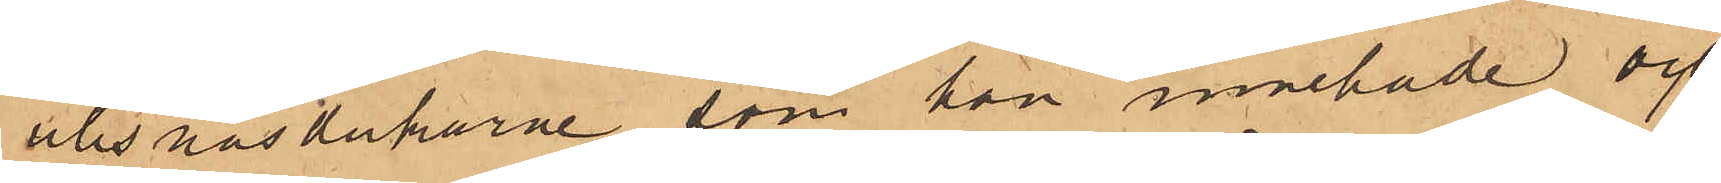ullsnäsdukarne, som hon innehade och
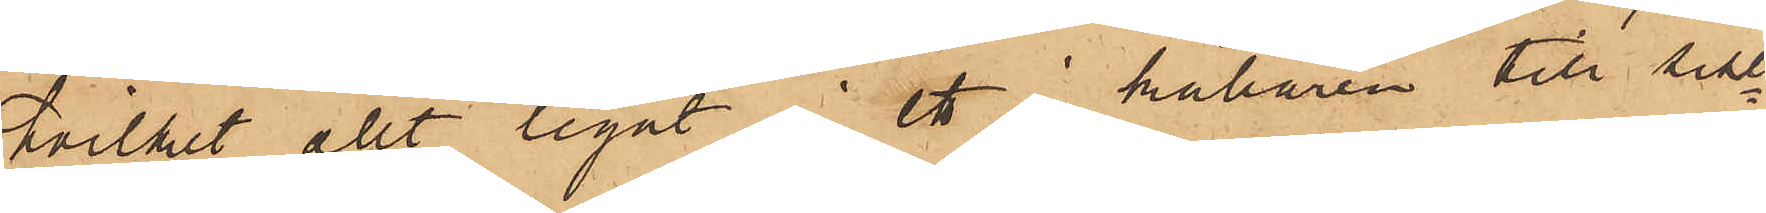hvilket allt legat i ett i källaren till sist¬
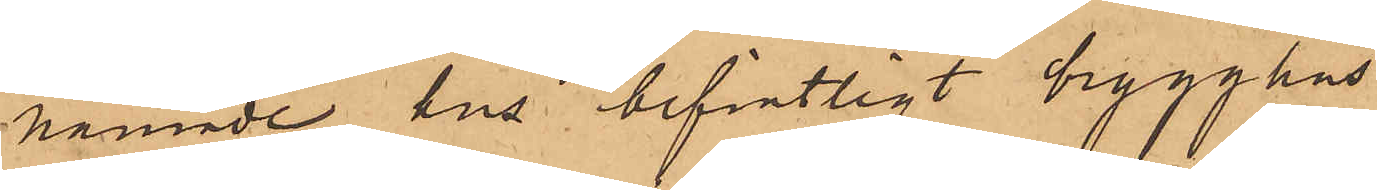nämnde hus befintligt brygghus.
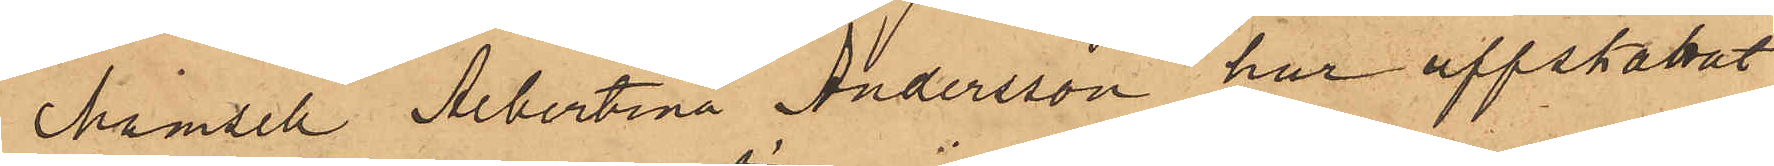Mamsell Albertina Andersson har uppskattat
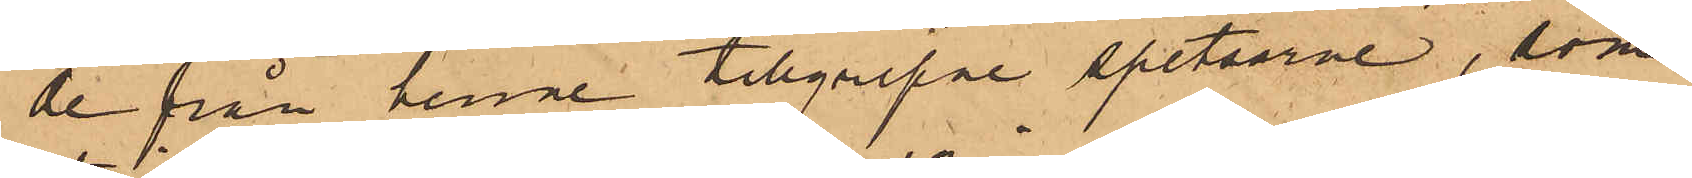de från henne tillgripne spetsarne, som
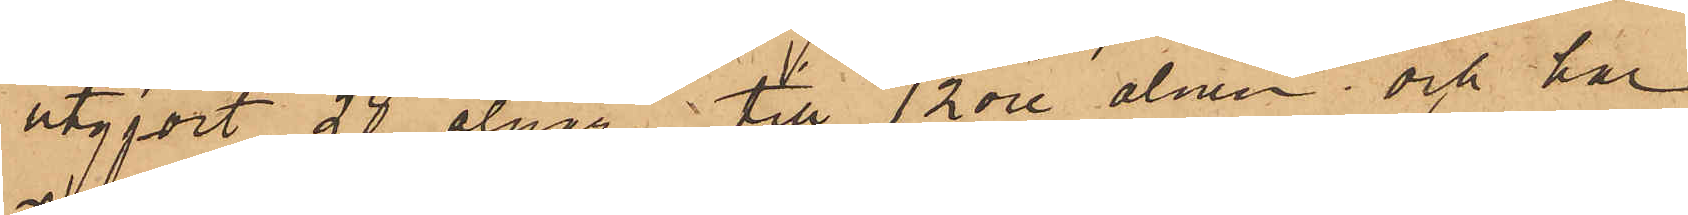utgjort 28 alnar till 12 öre alnen och har
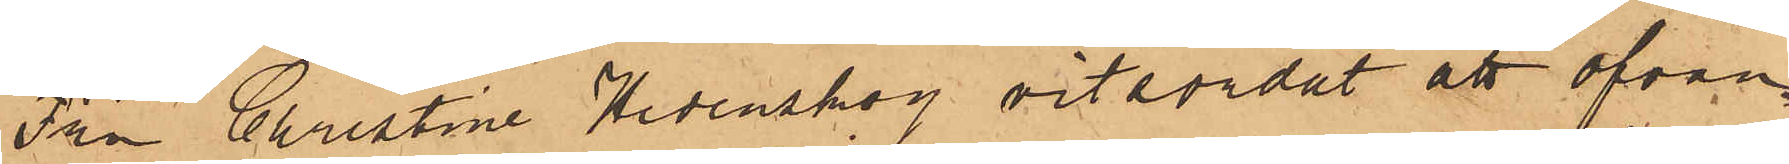Fru Christine Hedenskog vitsordat att ofvan¬
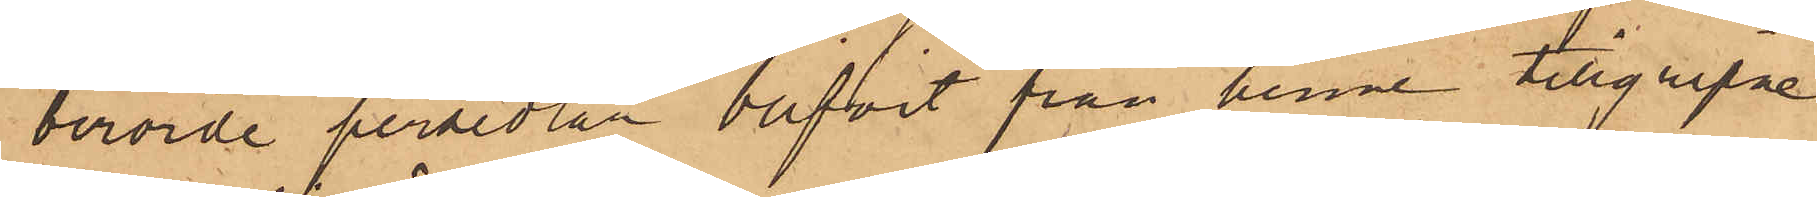berörde persedlar blifvit från henne tillgripne
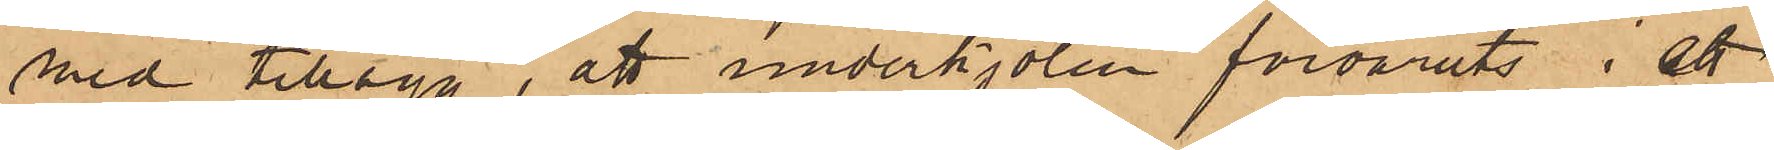med tillägg, att underkjolen förvarats i ett
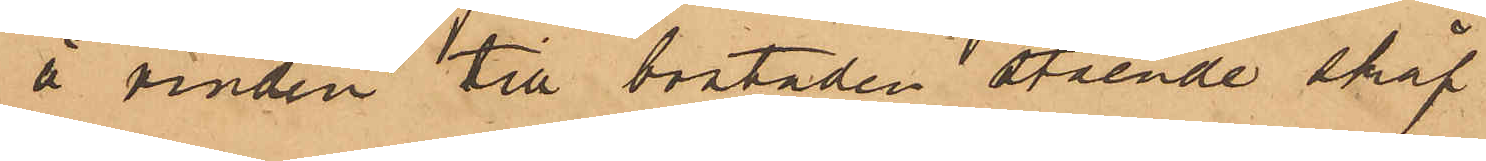å vinden till bostaden stående skåp.
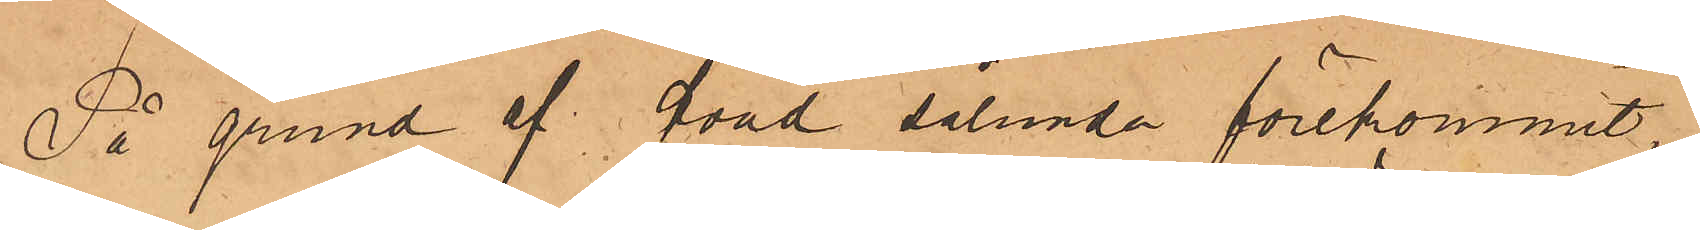På grund af hvad sålunda förekommit,
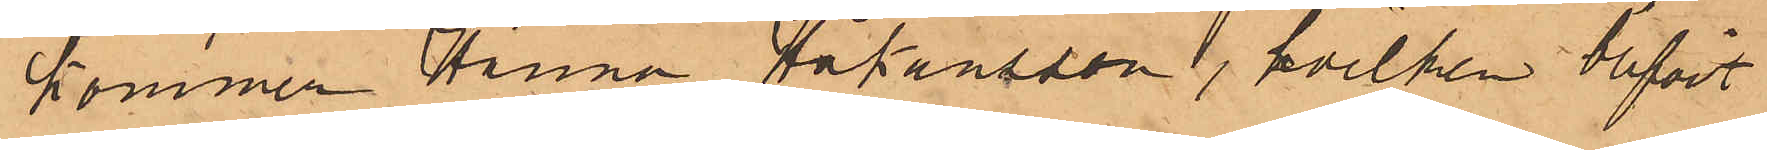kommer Hanna Håkansson, hvilken blifvit
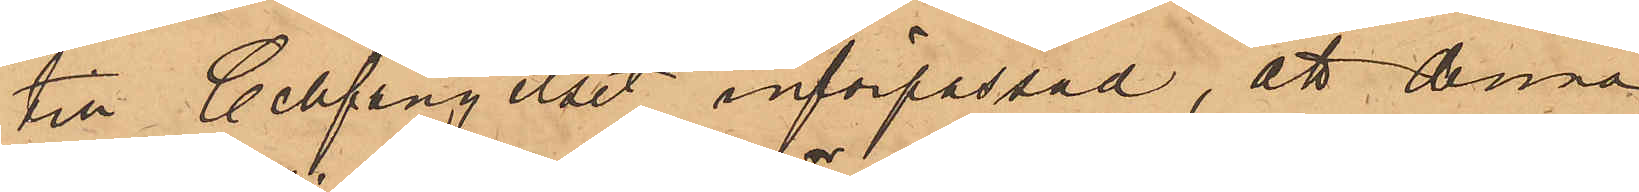till Cellfängelset införpassad, att denna
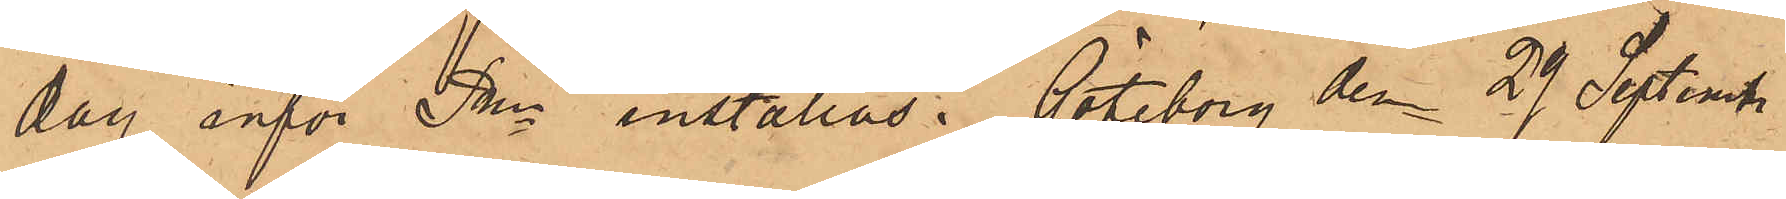dag inför Pkn inställas. Göteborg den 29 September
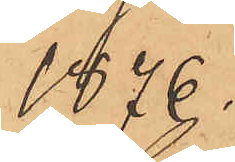1876.
